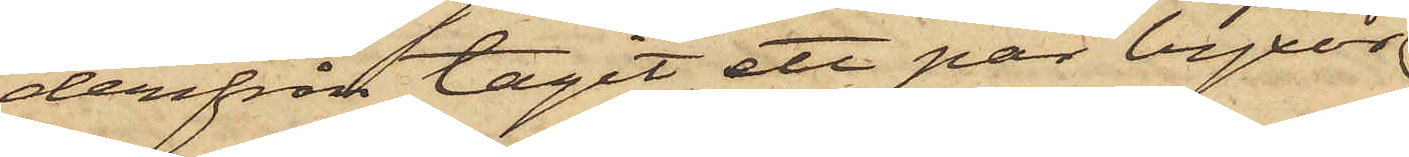derifrån tagit ett par byxor
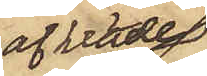af kläde
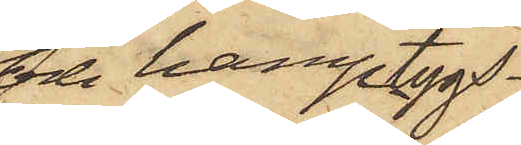och hamptygs¬
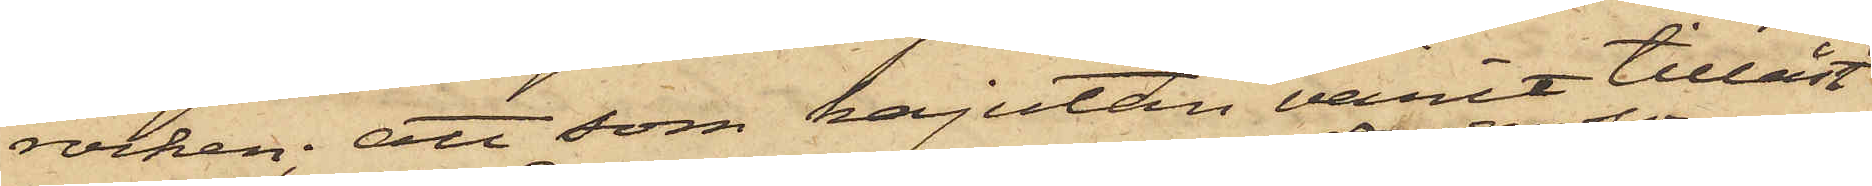rocken; att som kajutan varit tillåst
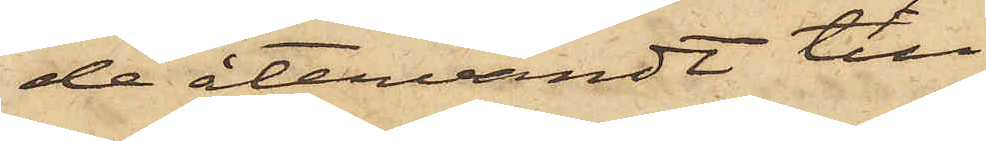de återvändt till
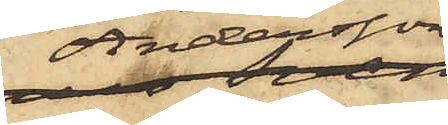Andersson
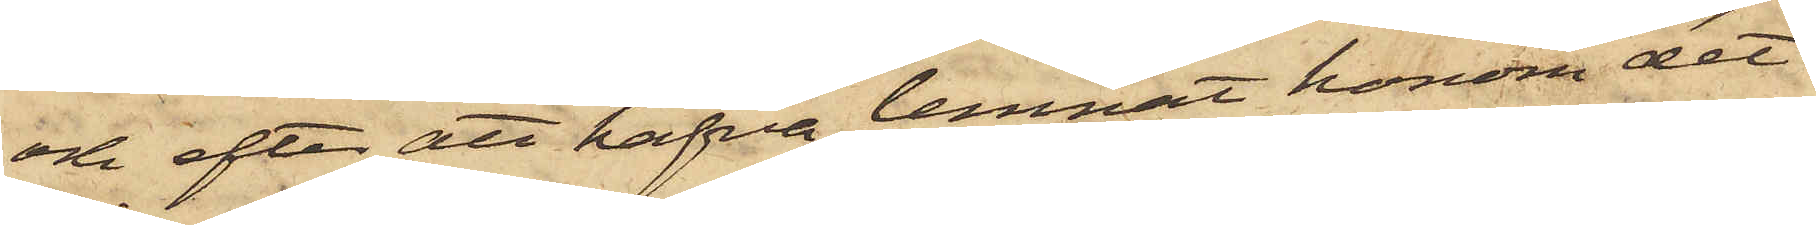och efter att hafva lemnat honom det
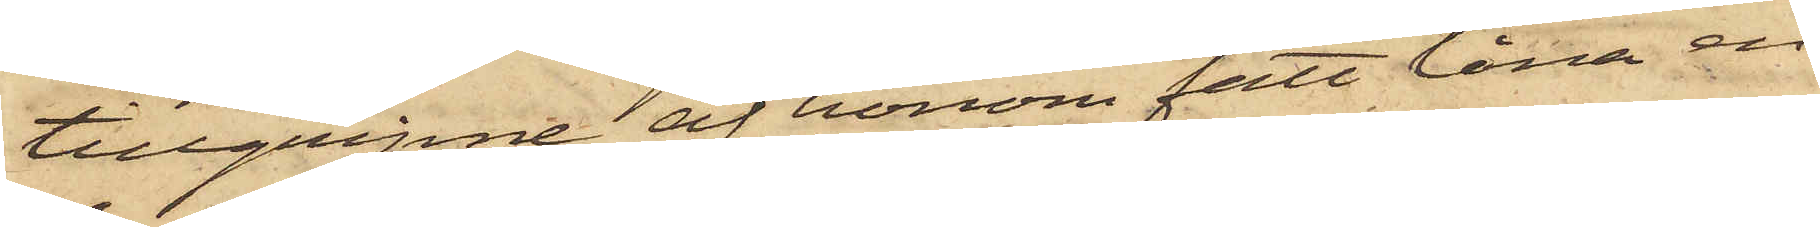tillgripne, af honom fått låna en
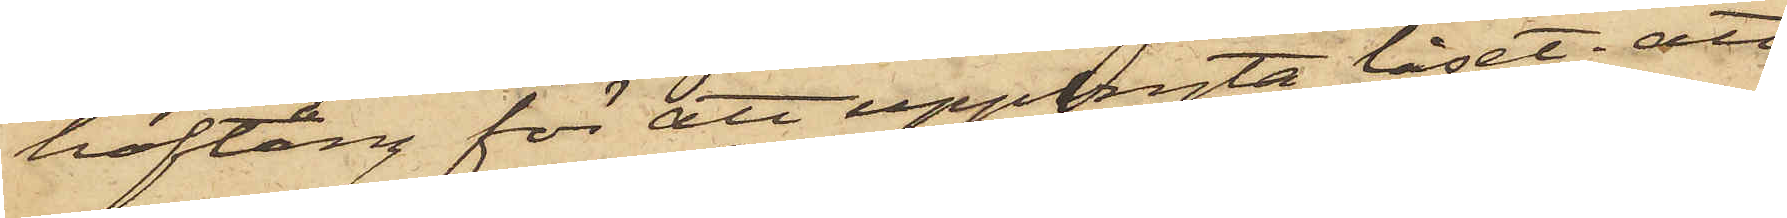hoftång för att uppbryta låset; att
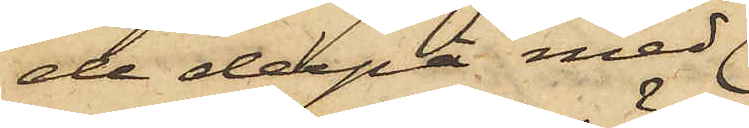de derpå med
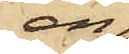en
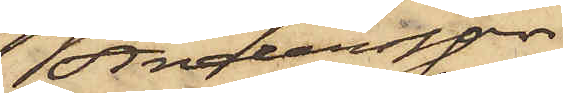Andersson
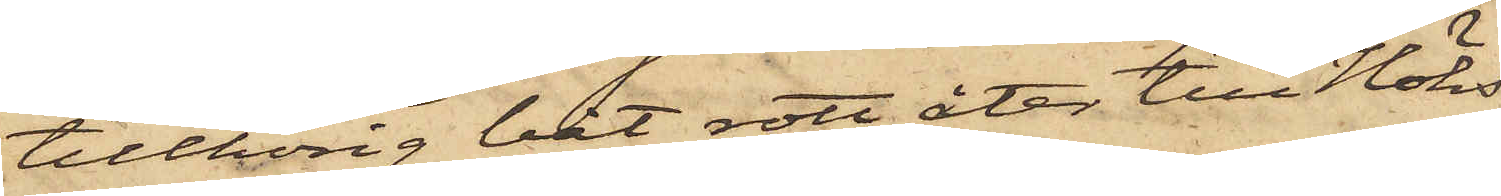tillhörig båt rott åter till Höks
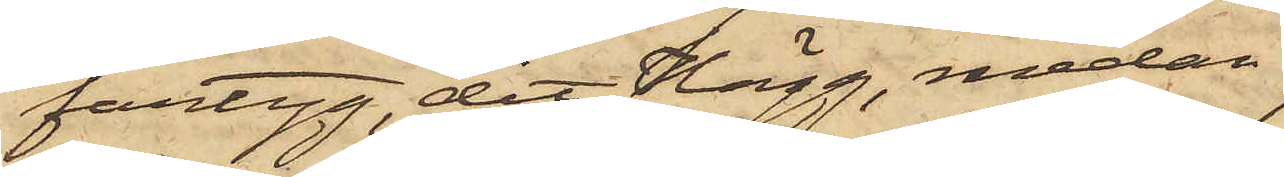fartyg, dit Hägg, medan
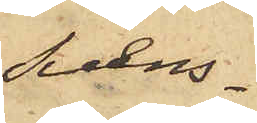Svens¬
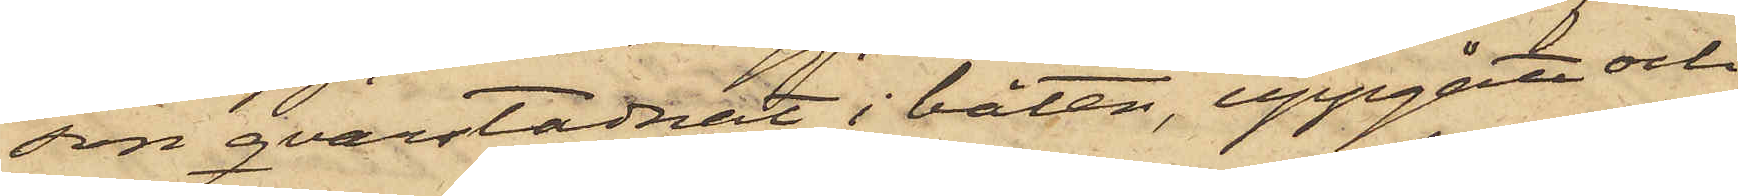son qvarstadnat i båten, uppgått och
